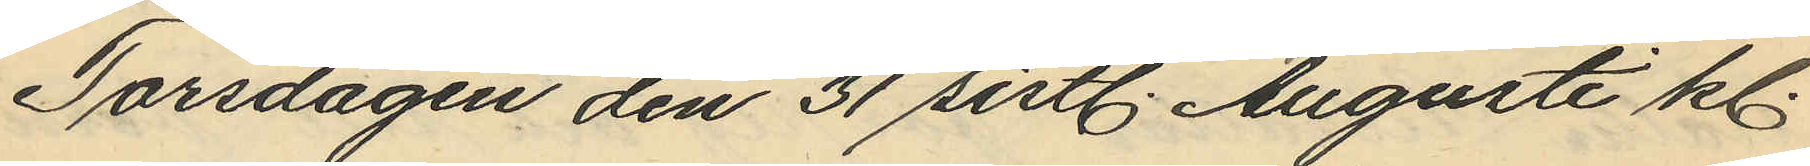Torsdagen den 31 sistl. Augusti kl.
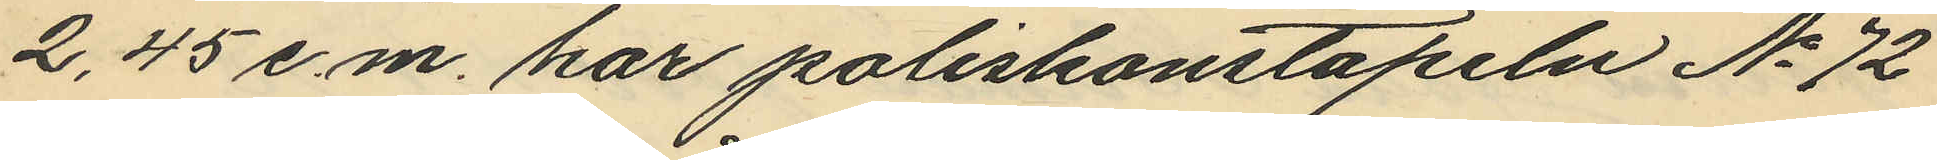2,45 e.m. har poliskonstapeln No 72
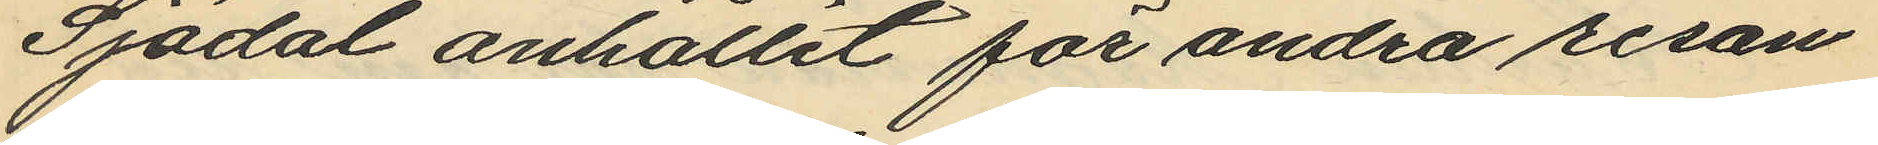Sjödal anhållit för andra resan
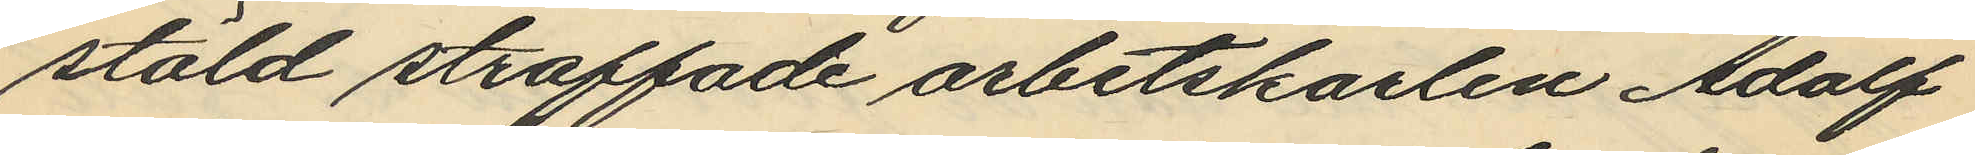stöld straffade arbetskarlen Adolf
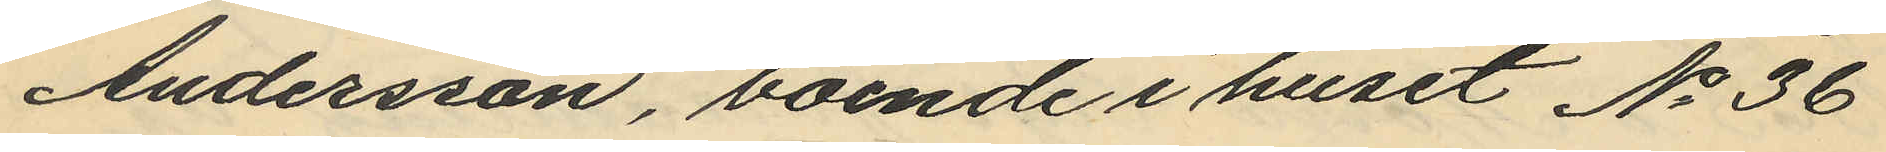Andersson, boende i huset No 36
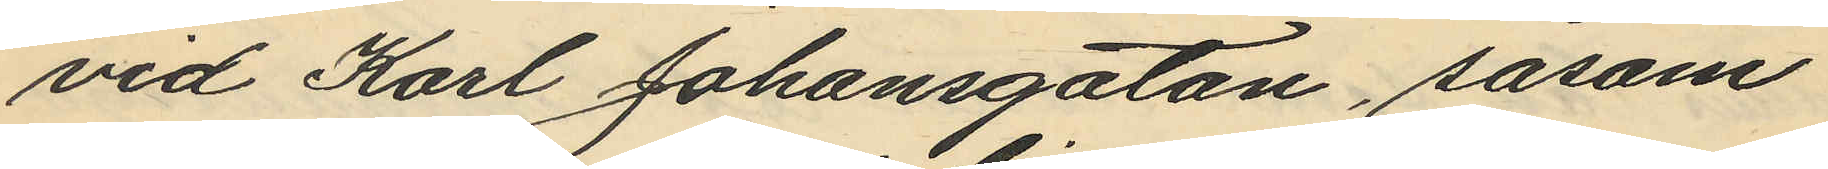vid Karl Johansgatan, såsom
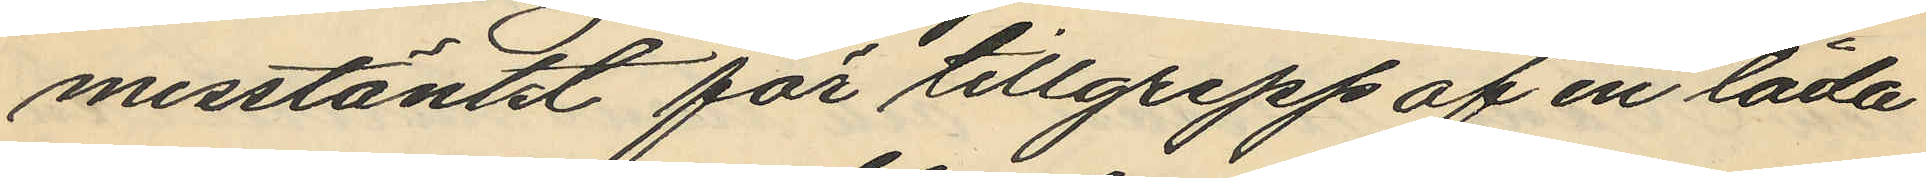misstänkt för tillgrepp af en låda
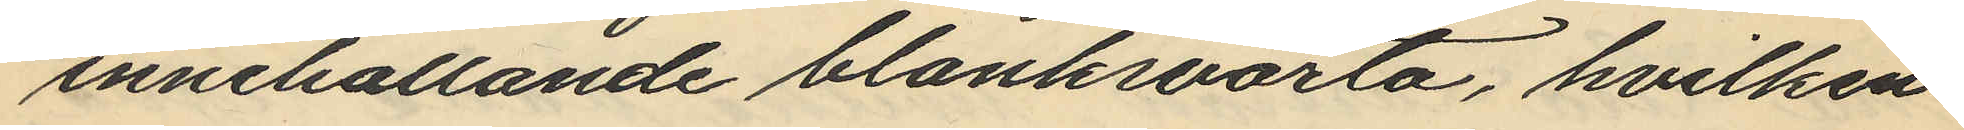innehållande blanksvärta, hvilken
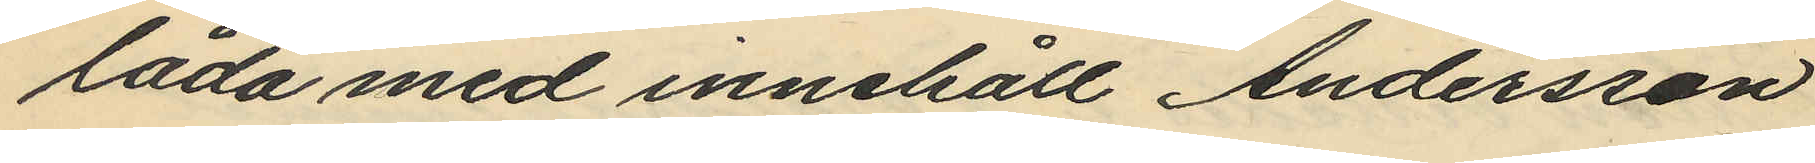låda med innehåll Andersson
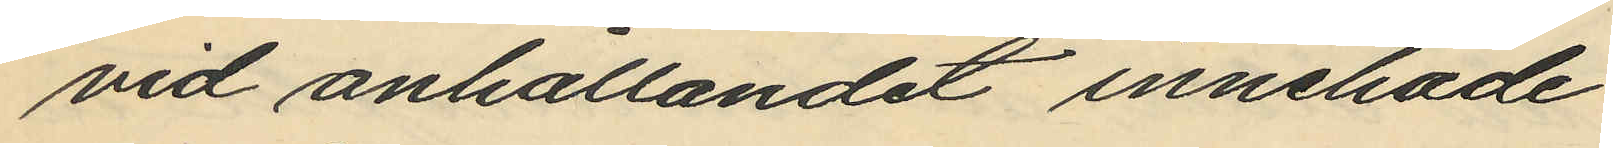vid anhållandet innehade
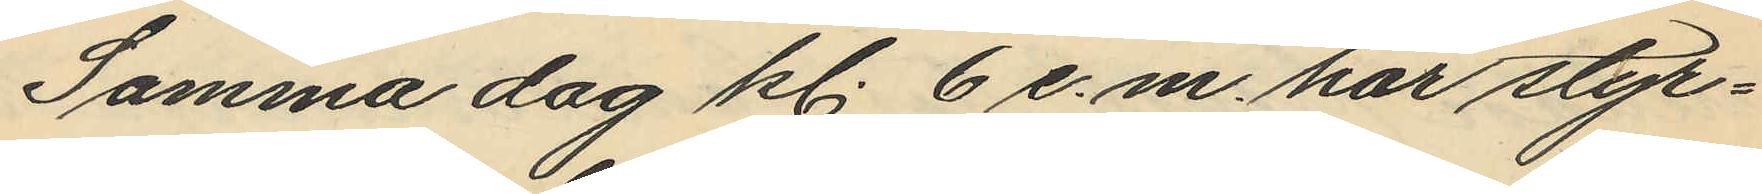Samma dag kl. 6 e. m. har styr¬
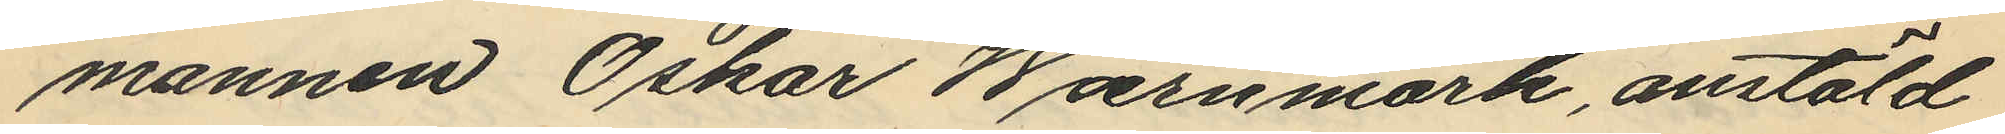mannen Oskar Wærnmark, anstäld
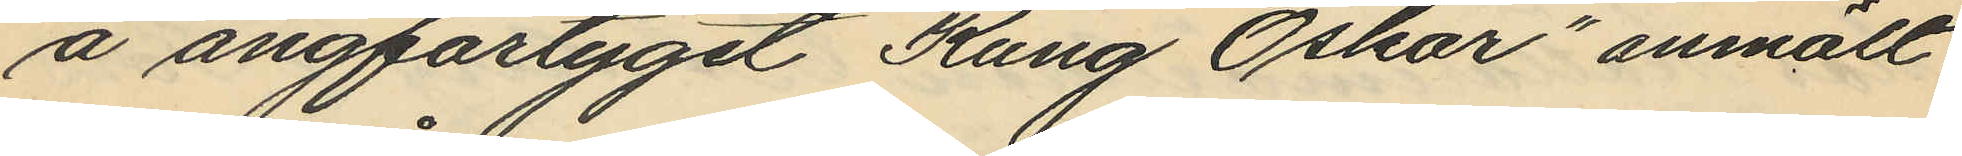å ångfartyget "Kung Oskar" anmält
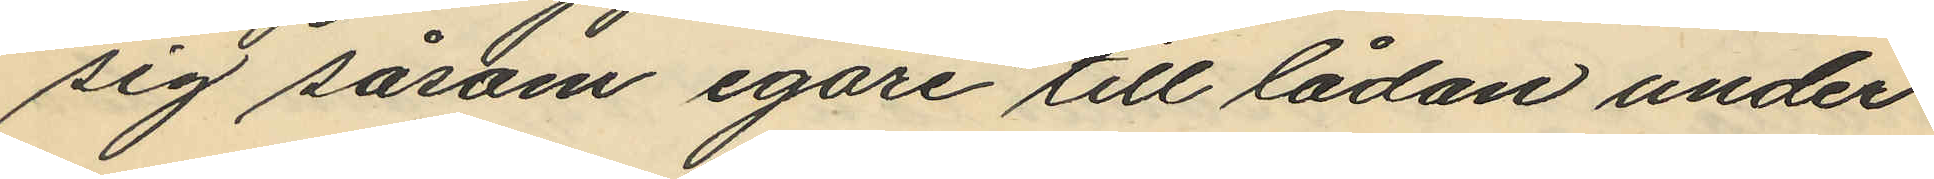sig såsom egare till lådan under
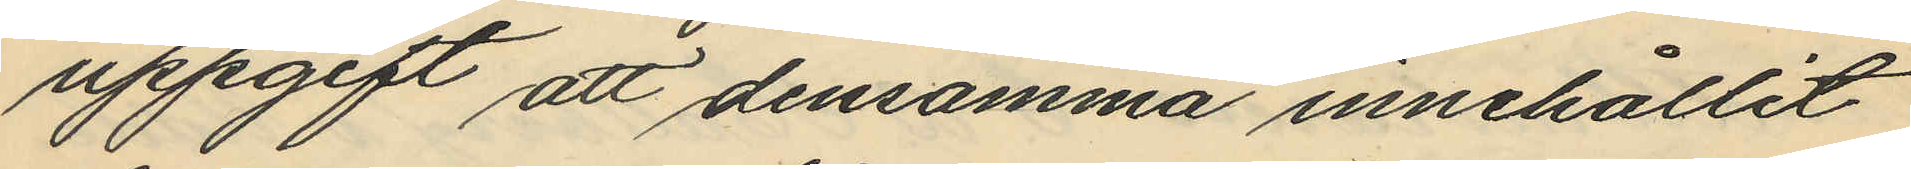uppgift att densamma innehållit
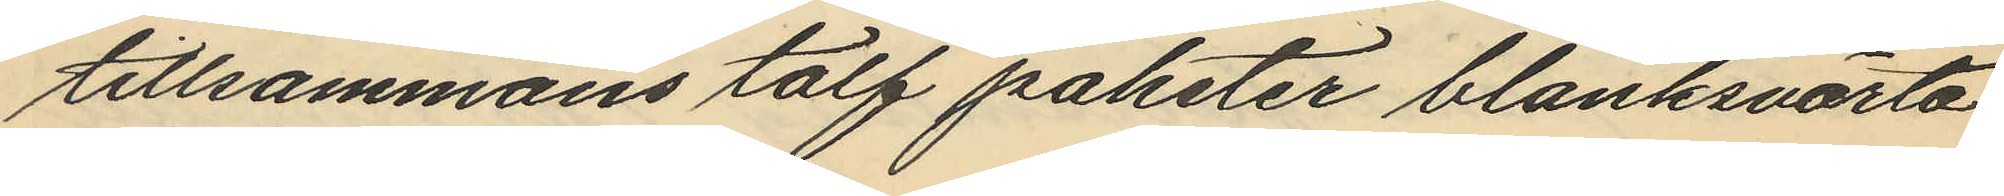tillsammans tolf paketer blanksvärta
